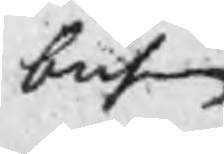busen.
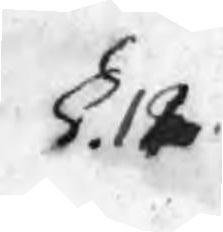§. 12
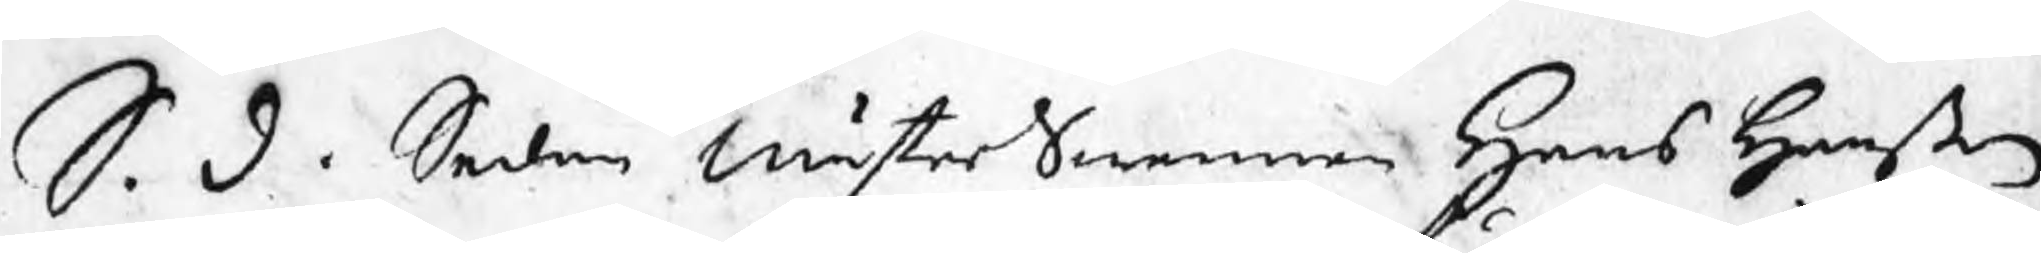S. d. Sedan MästerSwennen Hans Hanßon
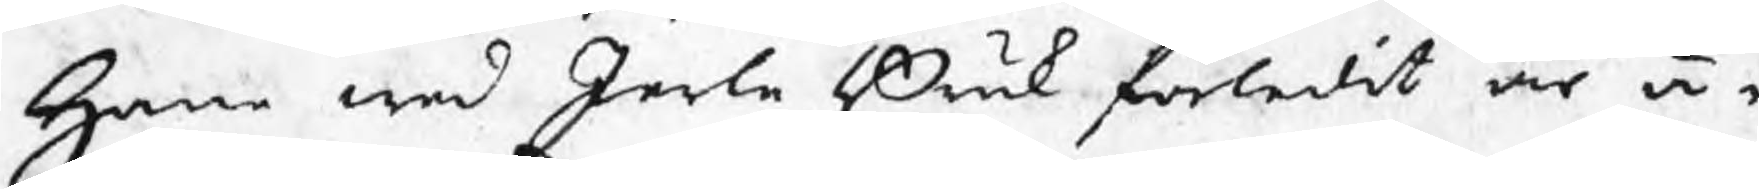Hane wed Jerle Bruk förledit år ä¬
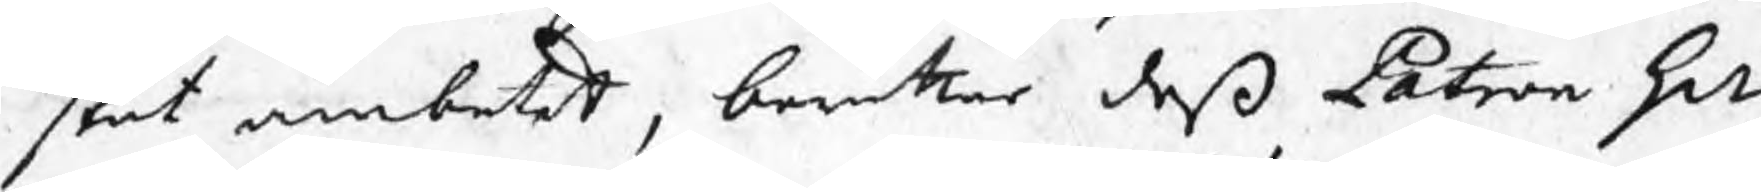skat ämbetet, berättar deß Patron Hr
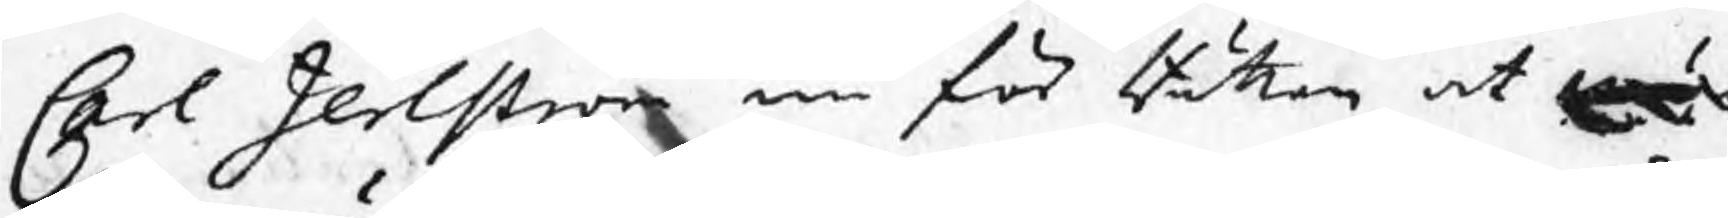Carl Jerlström nu för Rätten at mä¬
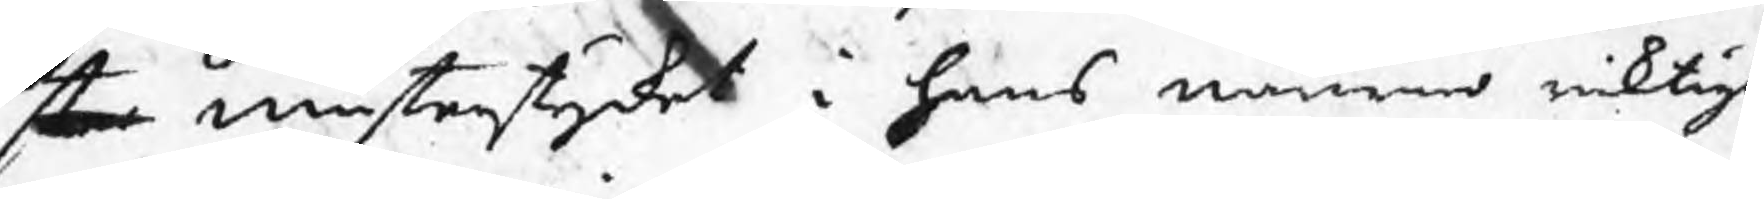ster mästerstycket i hans närwaro riktigt
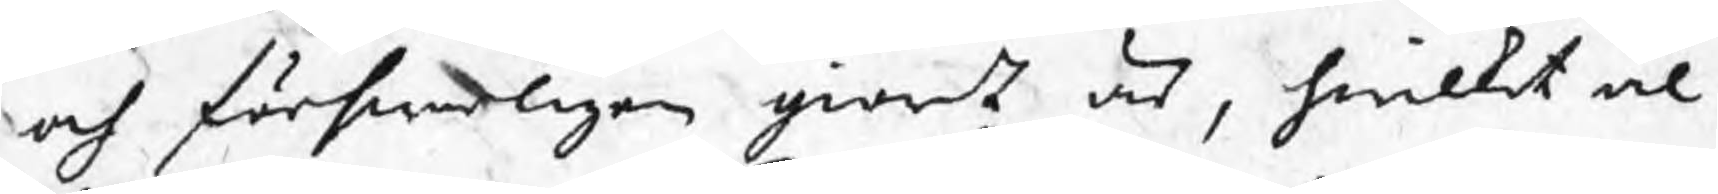och förswarligen giordt är, hwilket ål¬
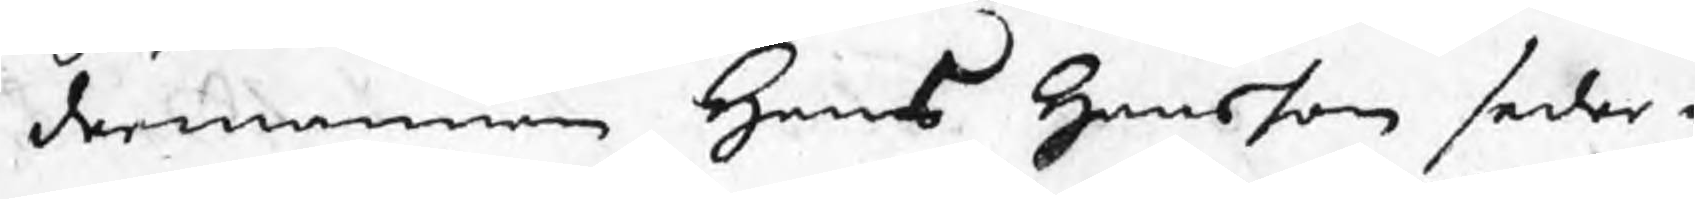dermannen Hans Hansson seder¬
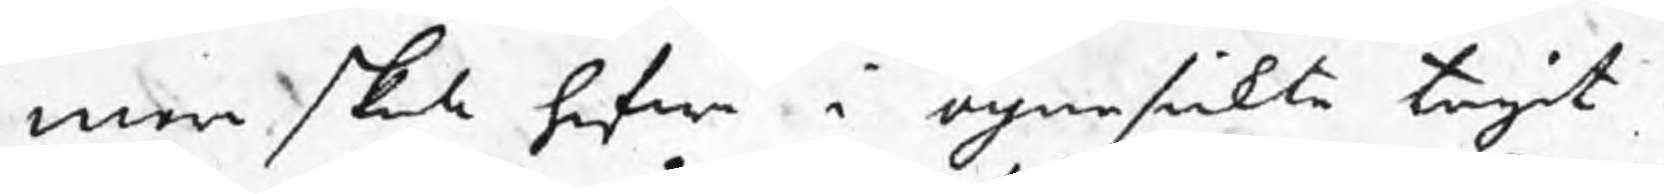mera skola hafwa i ögonsickte tagit.
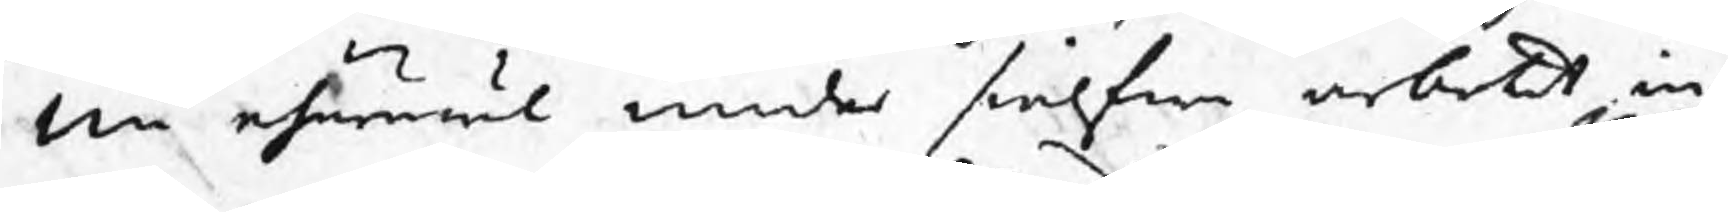Nu ehuruwäl under sielfwa arbetet in¬
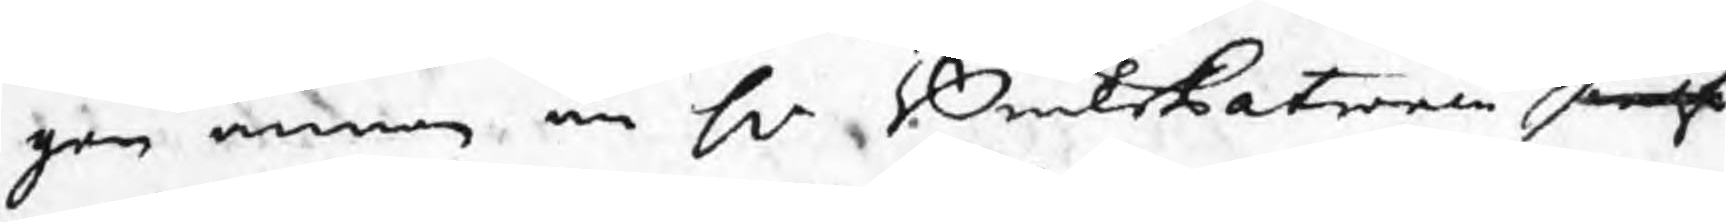gen annan än Hr BruksPatronen sielf
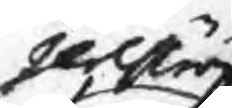Jelström
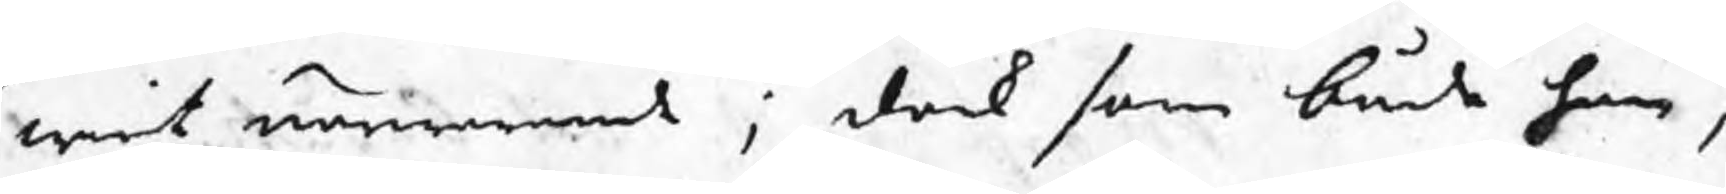warit närwarande ; dock som både han,
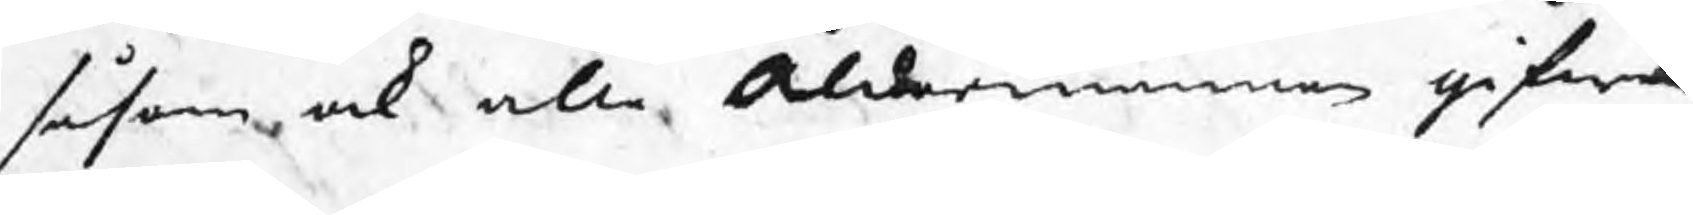såsom ock alle Åldermännen gifwa
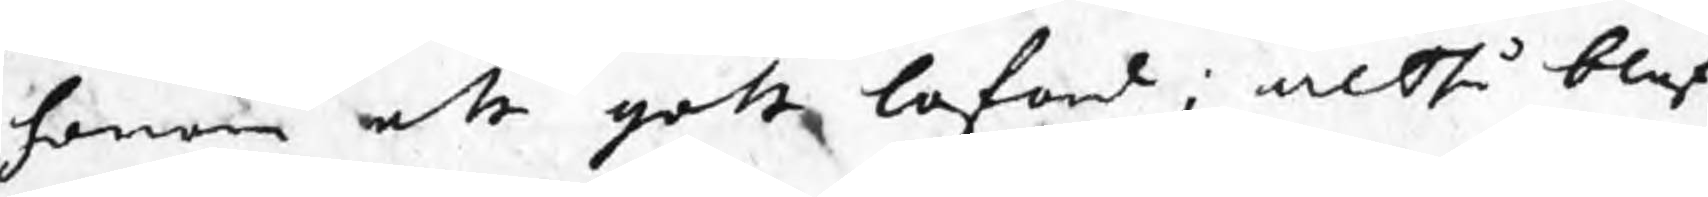honom ett gott loford ; altså blef
